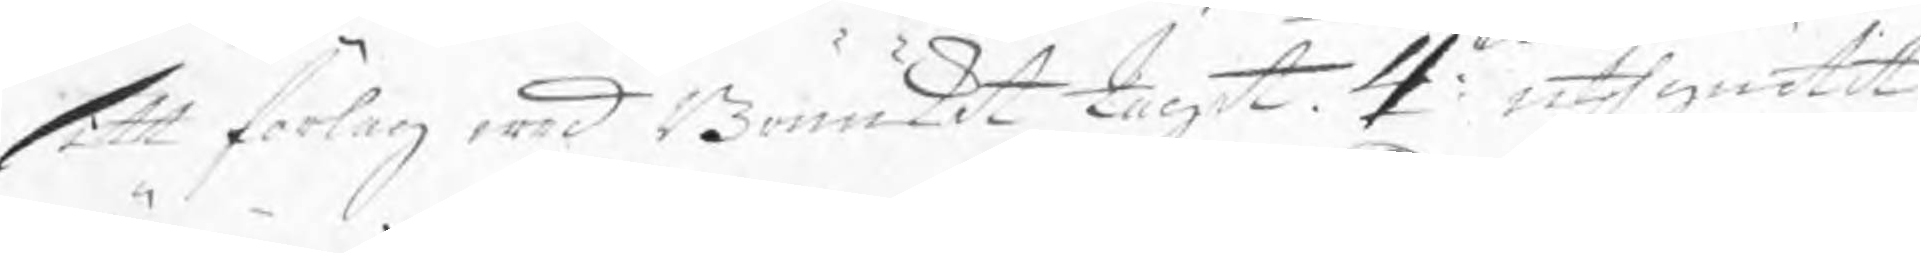sitt förlag wed Brukket tagit. 4:to uthgiutit
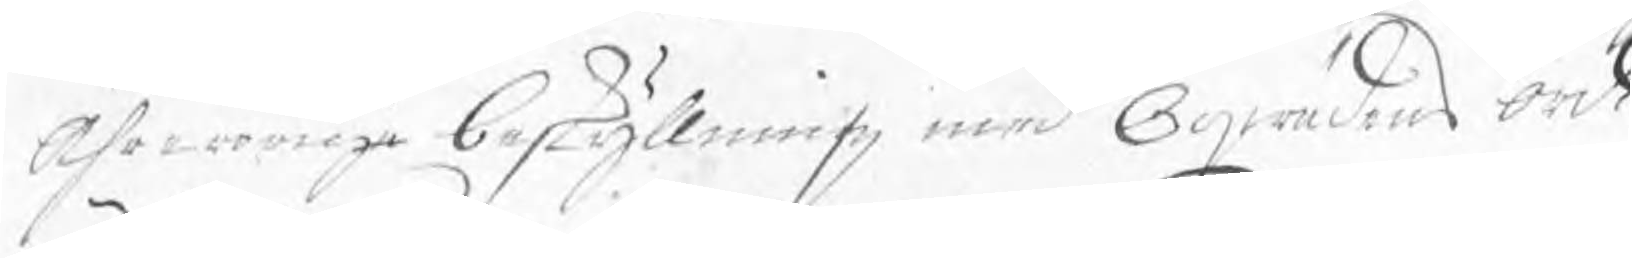Ährerörige beskyllning med Oqwädens ord.
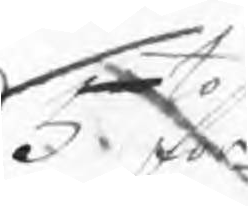5.to för¬
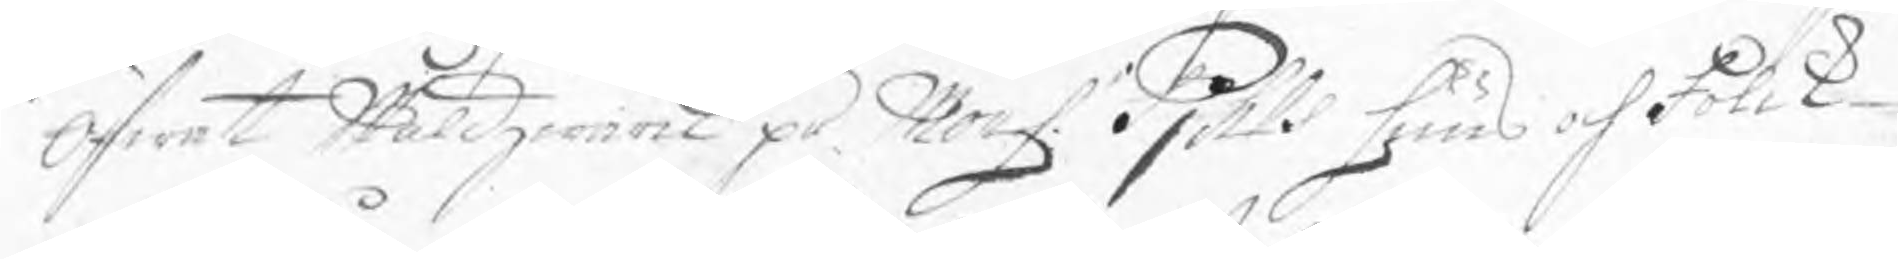öfwat Wåldzwärk på Mons. Pjhls huus och folck
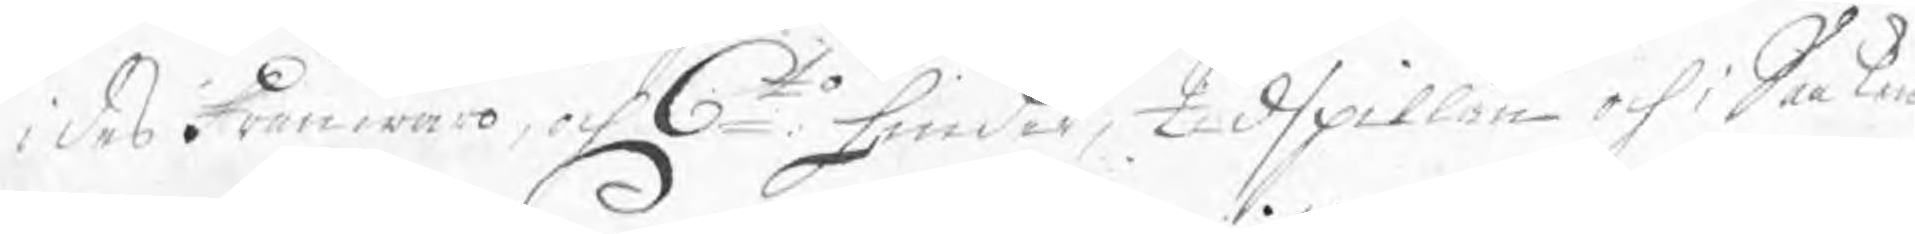i des frånwaro, och 6to hinder, tidspillan och i Saaken
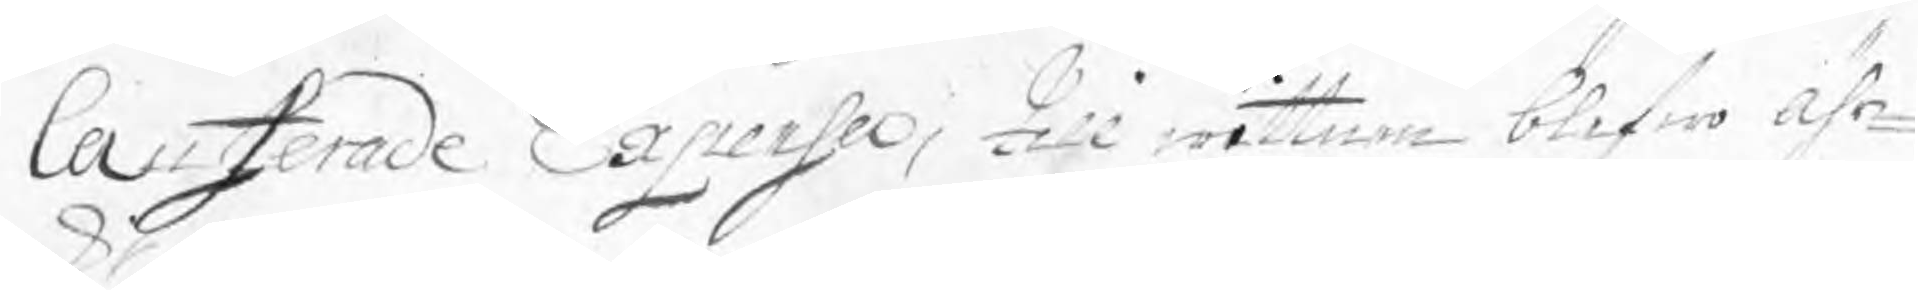Causerade Expenser, till wittnen blifwo ähr¬
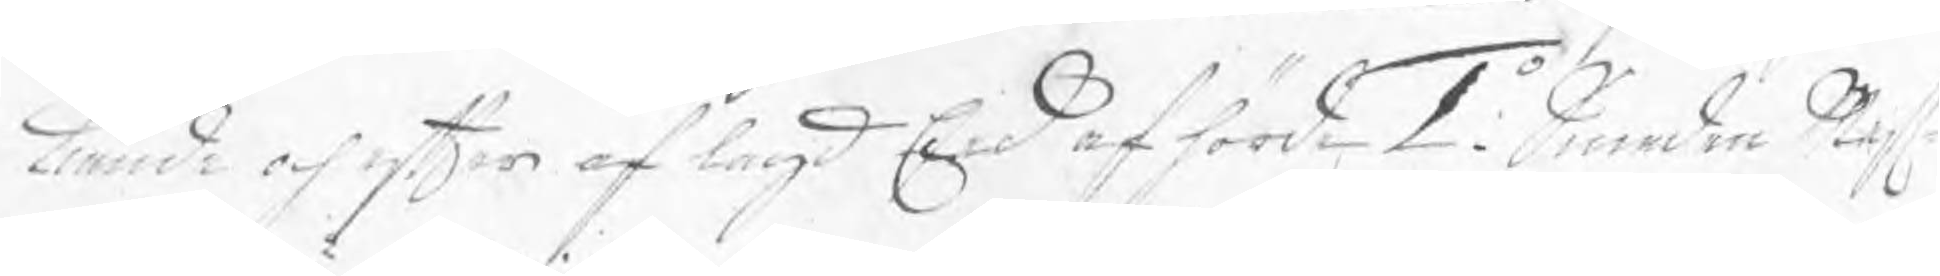kiände och efter af lagd Eed afhörde 1:o Smeden Mest
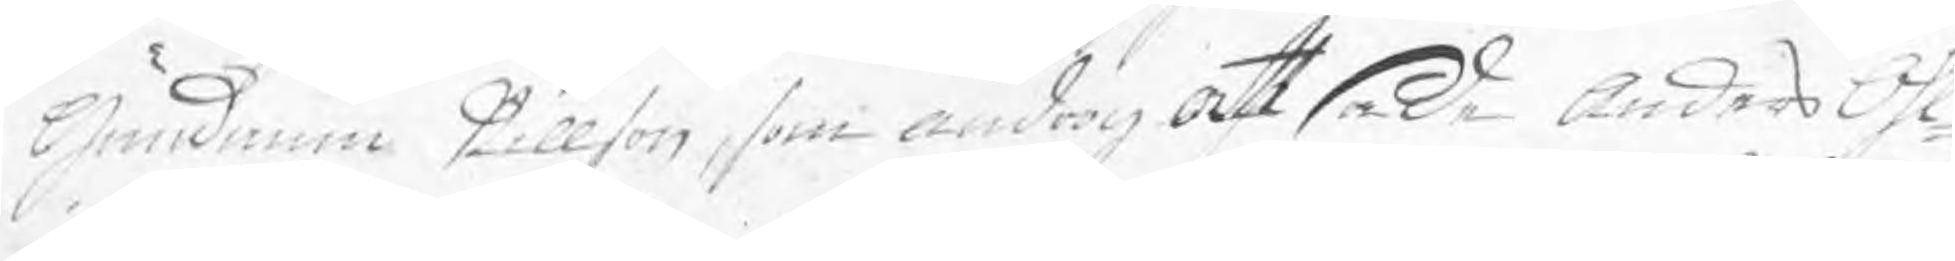Gundmun Nillson, som androg att sade Anders Ohl¬
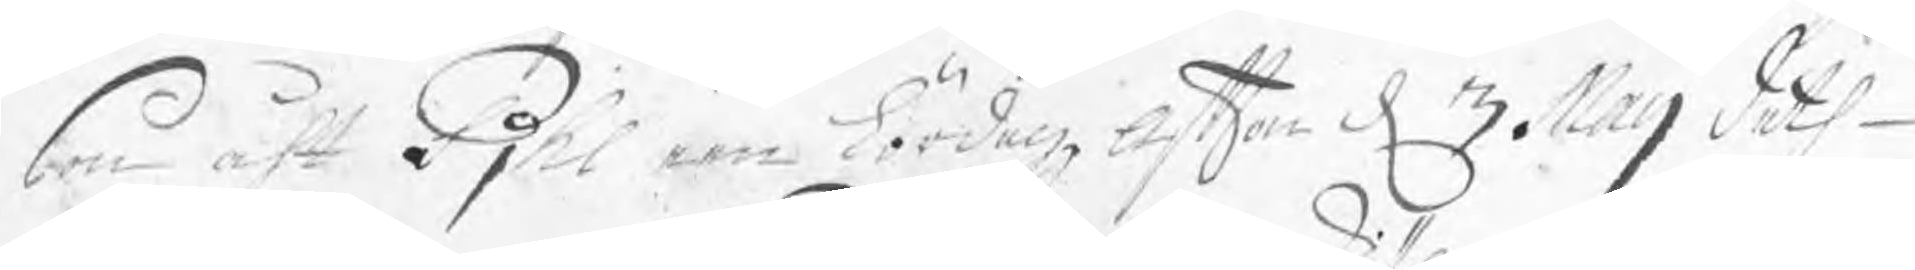son att Pjhl een Lördagz afton d 3 Maij deth
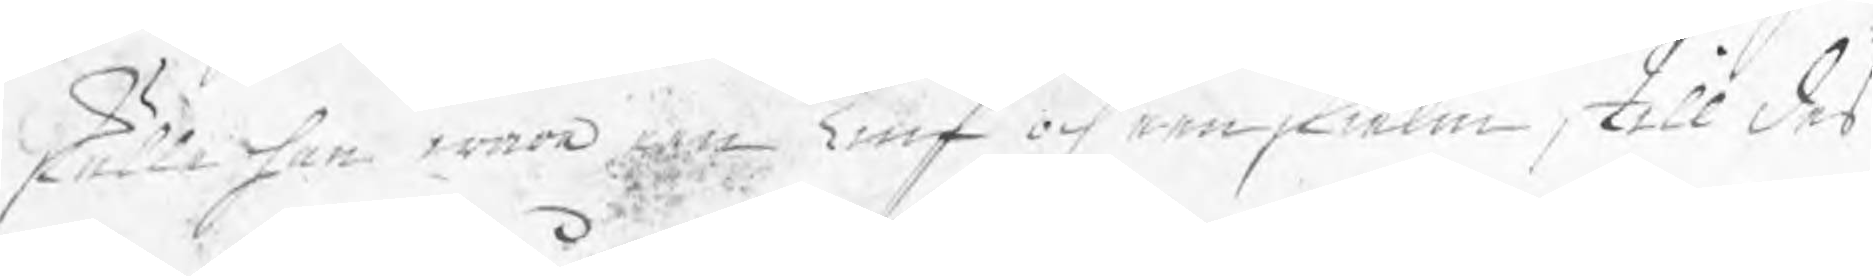skulle han wara een Tiuf och een skiälm, till des
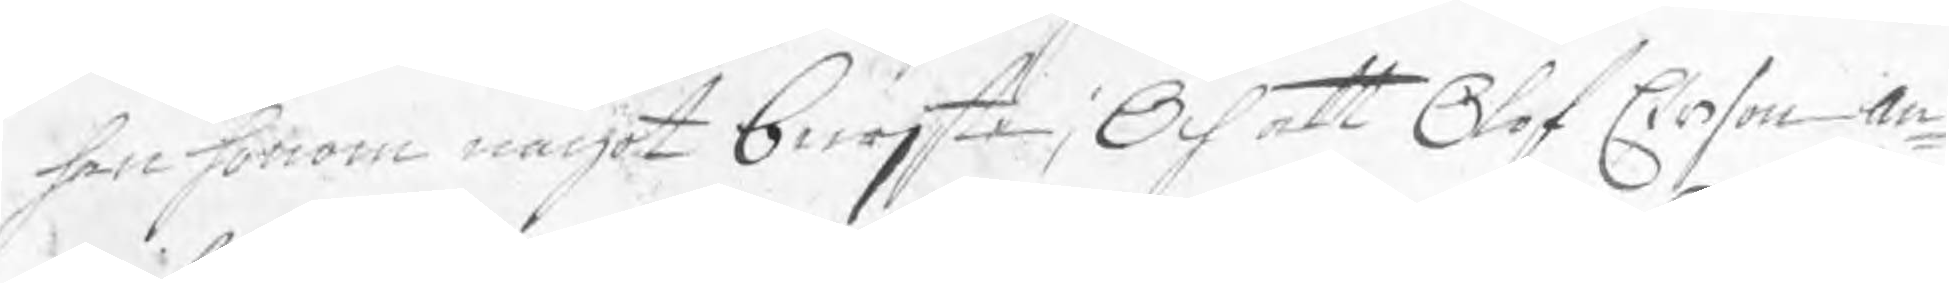han honom något bewjste; Och att Olof Erson an¬
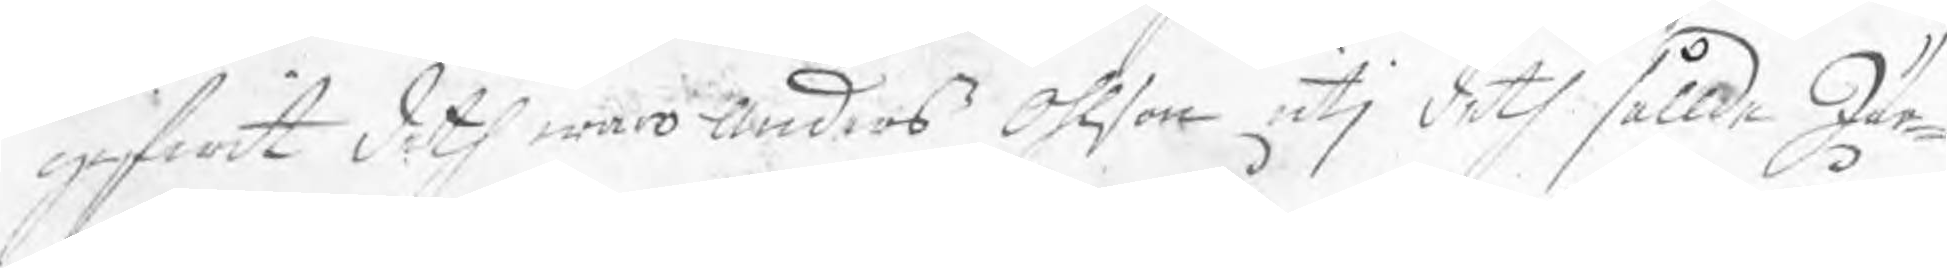gifwit deth war Anders Ohlson utj deth sållde Jär¬
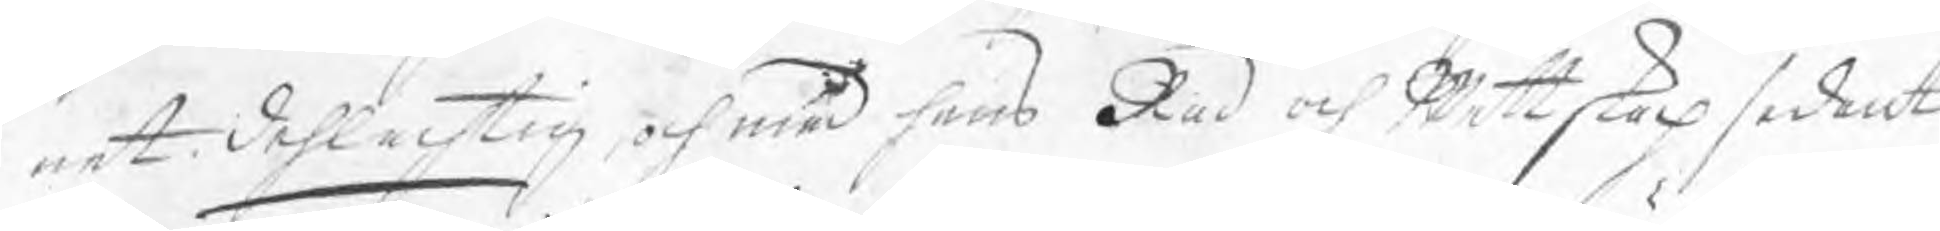net dehlachtig, och med hans Råd och Wettskap sådant
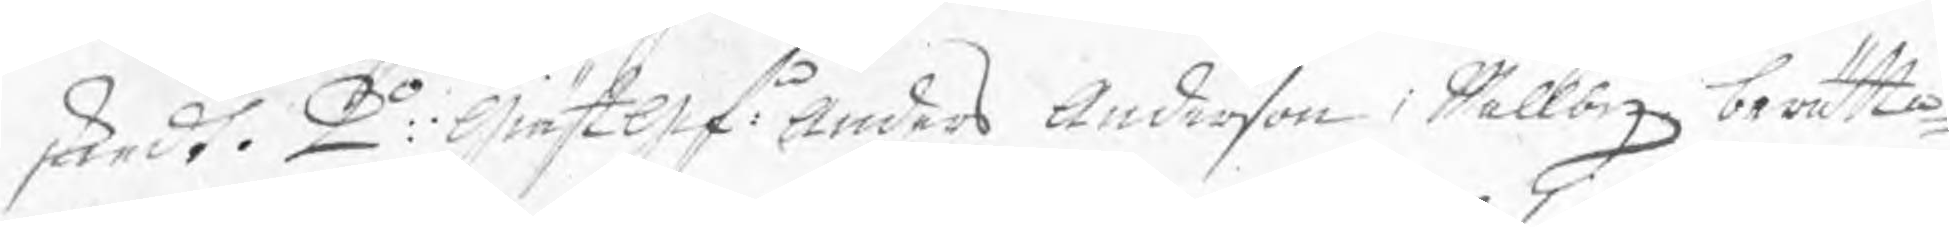skiedt. 2o: Giästgif: Anders Anderson i Wallby berätta¬
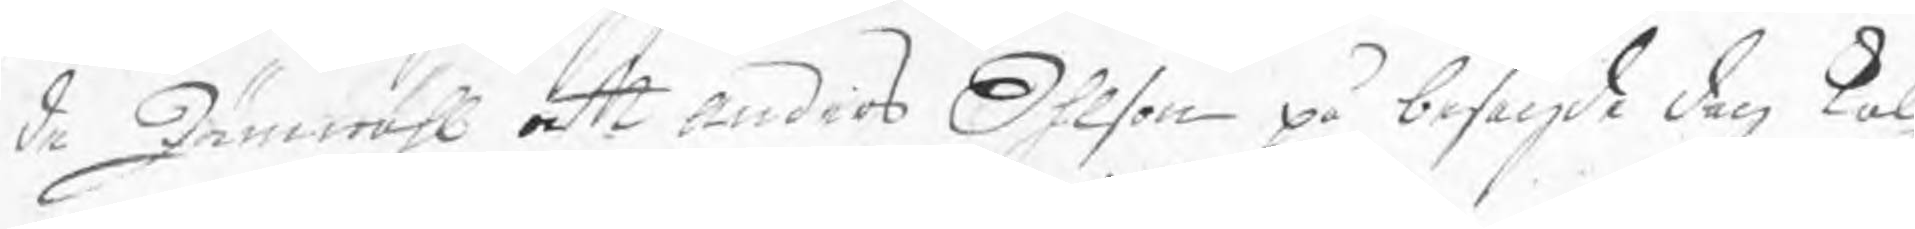de Jämwähl att Anders Ohlson på besagde dag kal¬
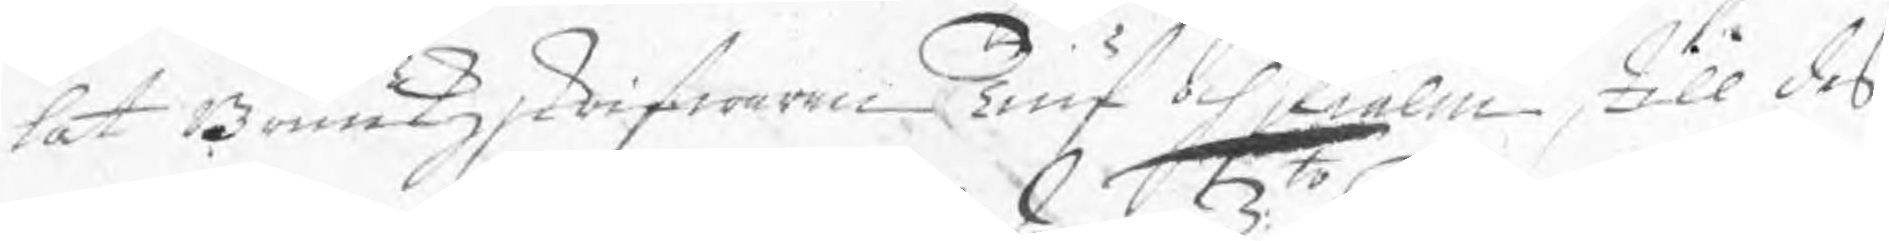lat Bruukzskrifwaren Tiuf och skiälm till des
